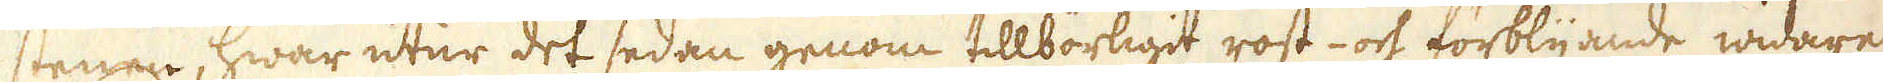stenen, hwar utur det sedan genom tillbörligit rost- och förblyande widare
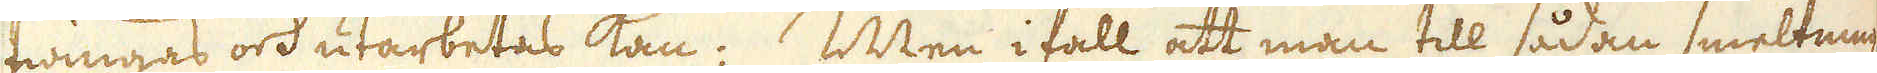twingas och utarbetas kan; Men ifall att man till sådan smeltning
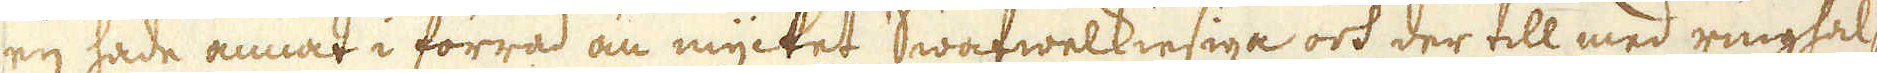eij hade annat i förråd än mycket Swafwelkiesiga och der till med ringhal-
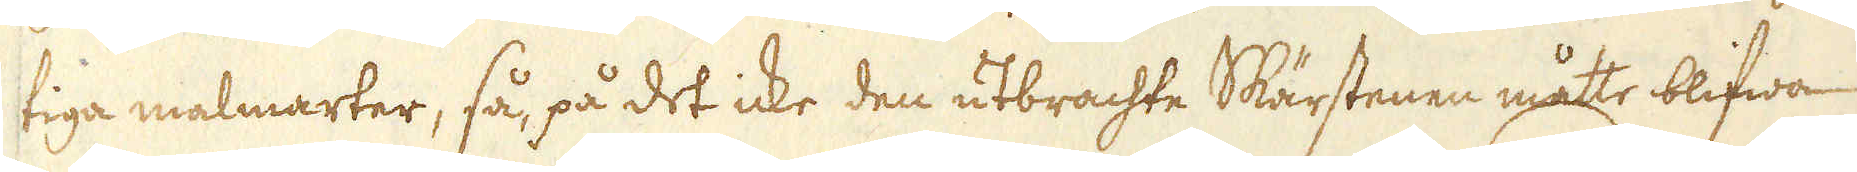tiga malmarter, så, på det icke den utbrachte Skärstenen måtte blifwa
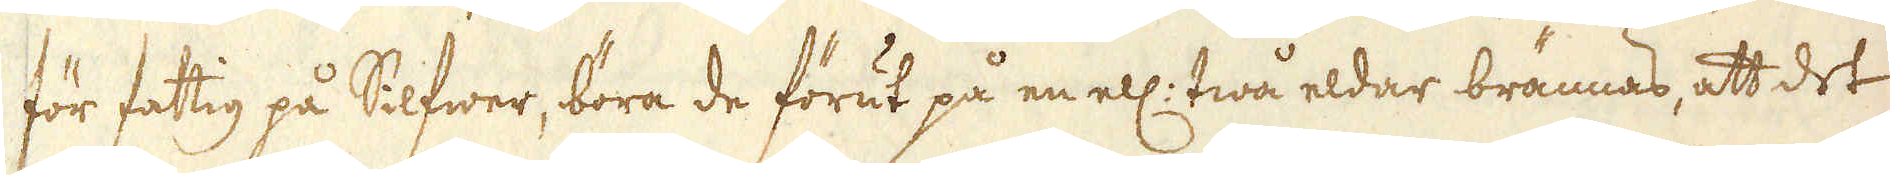för fattig på Silfwer, böra de förut på en ell: twå eldar brännas, att det
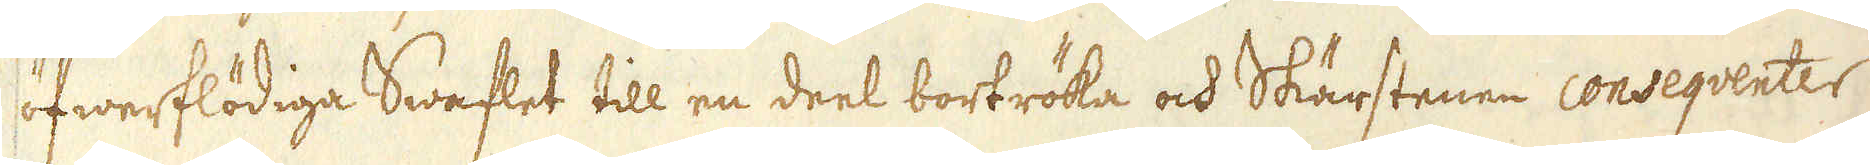öfwerflödiga Swaflet till en deel bortröka och Skärstenen conseqventer
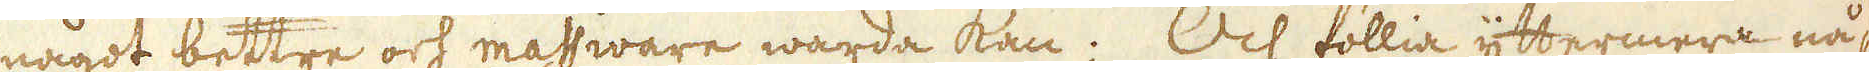något bettre och massivare warda kan; Och föllia yttermera nå-
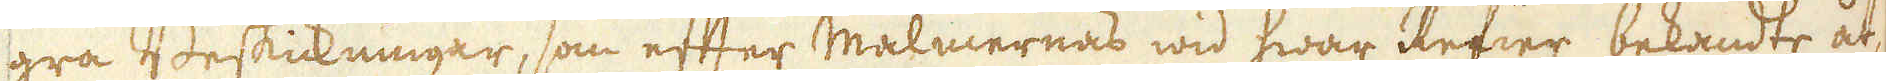gra Beskickningar, som efter malmernas wid hwar Reier bekandte åt-
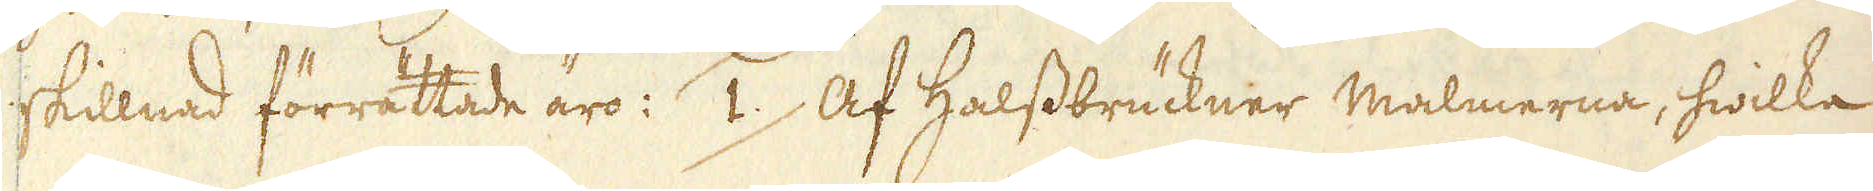skillnad förrättade äro: 1.) Af Halssbrückner malmerna, hwilka
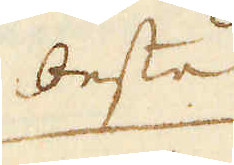besta
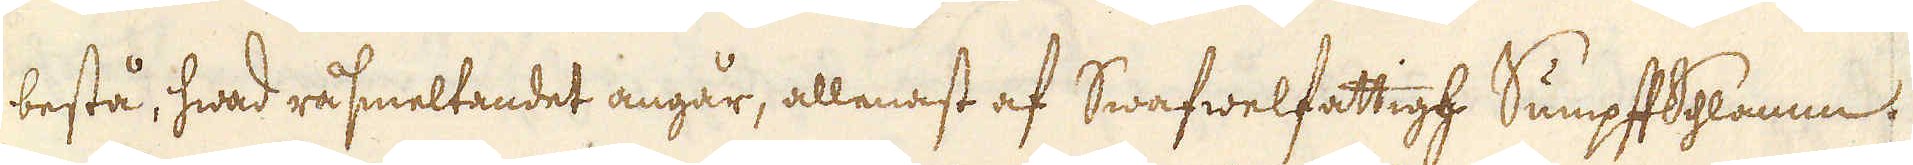bestå, hwad råsmeltandet angår, allenast af Swafwelfattigh SumpftSchlamm
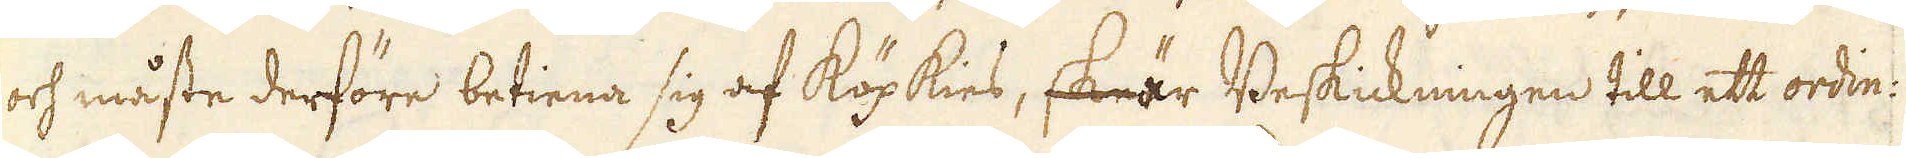och måste derföre betiena sig af köpkies, skeär Beskickningen till ett ordin:
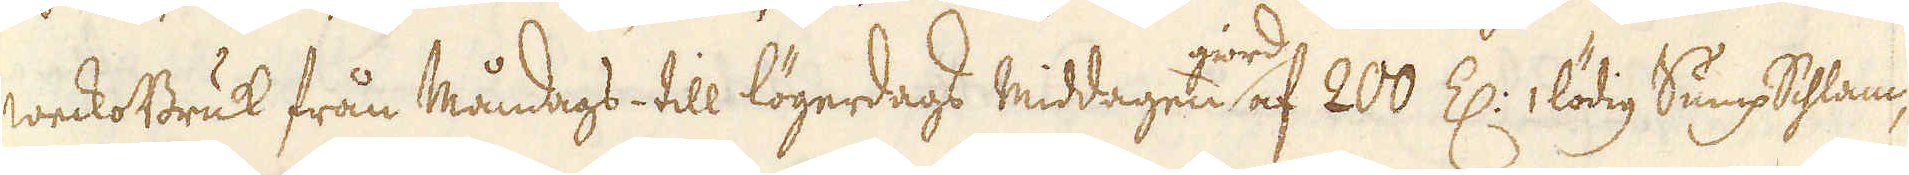weckoBruk från Måndags till lögerdags middagen giord af 200 Z: lödig SumpSchlam,
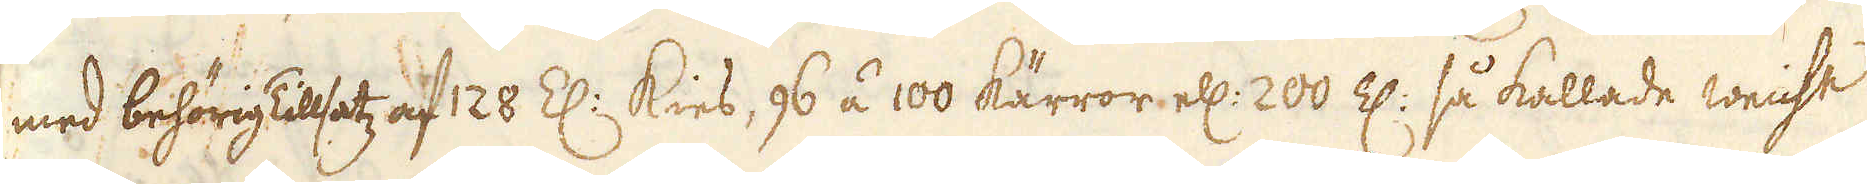med behörig Tilsatz af 128 Z: kies, 96 á 100 kärror ell: 200 Z: så kallade weicht
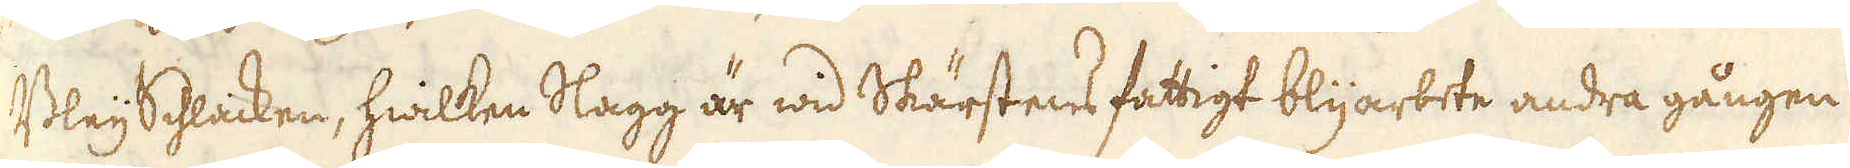BleySchlaicken, hwilken Slagg är wid Skärstens fattigt blyarbete andra gången
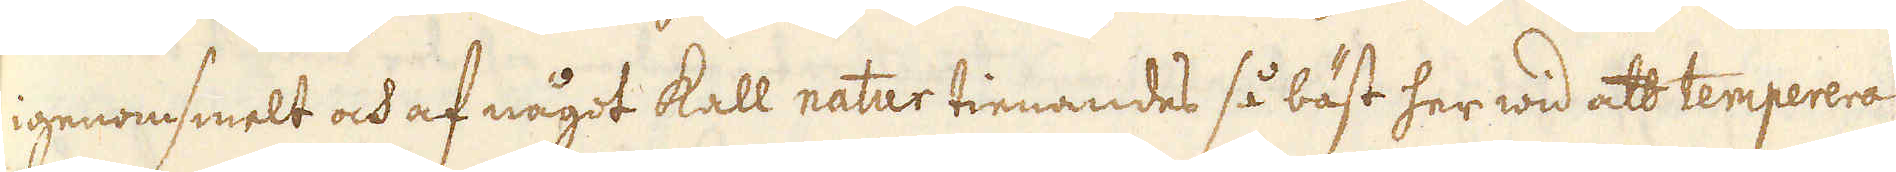igenomsmelt och af något kall natur tienandes så bäst her wid att temperera
